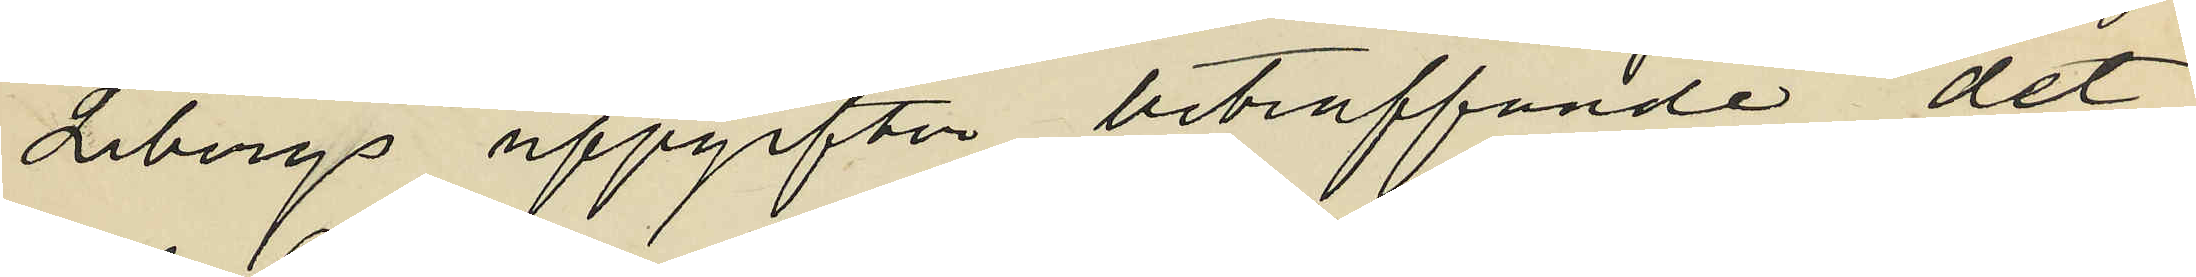Libergs uppgifter beträffande det
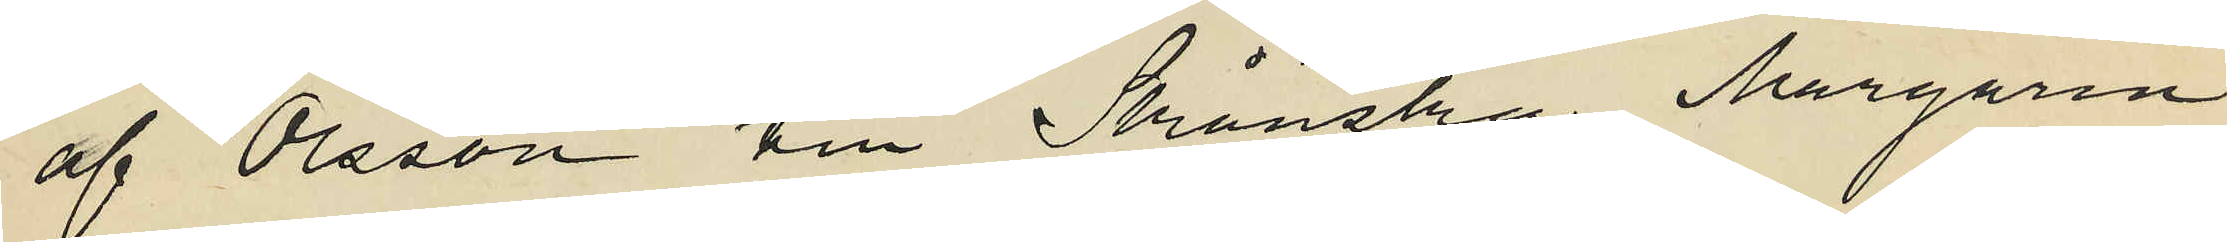af Olsson till Skånska Margarin
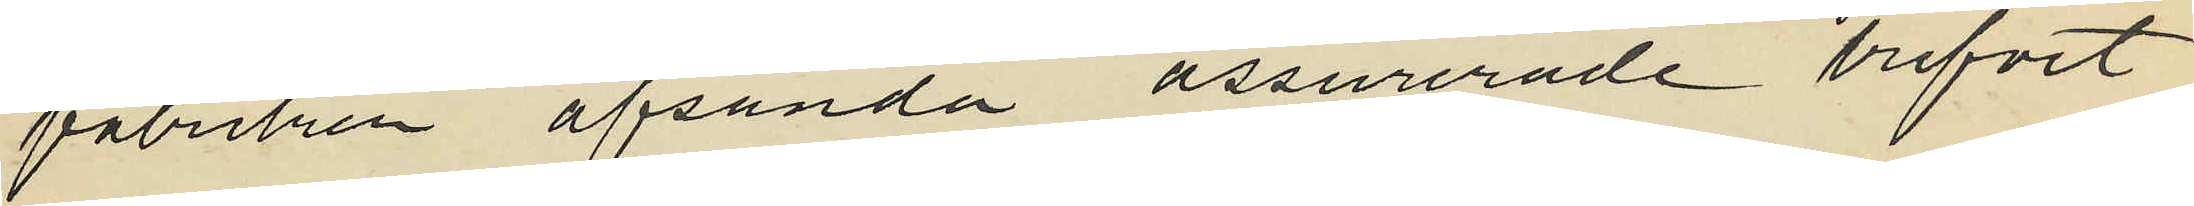fabriken afsända assurerade brefvet
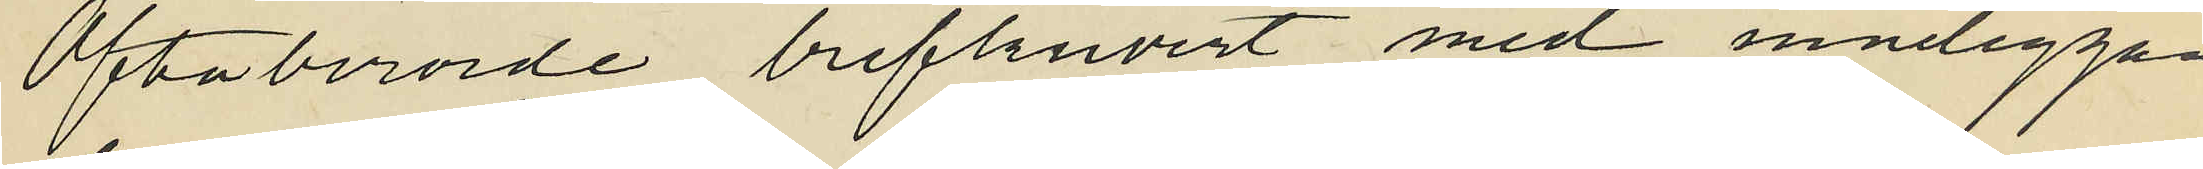Oftaberörde brefkuvert med inneliggan¬
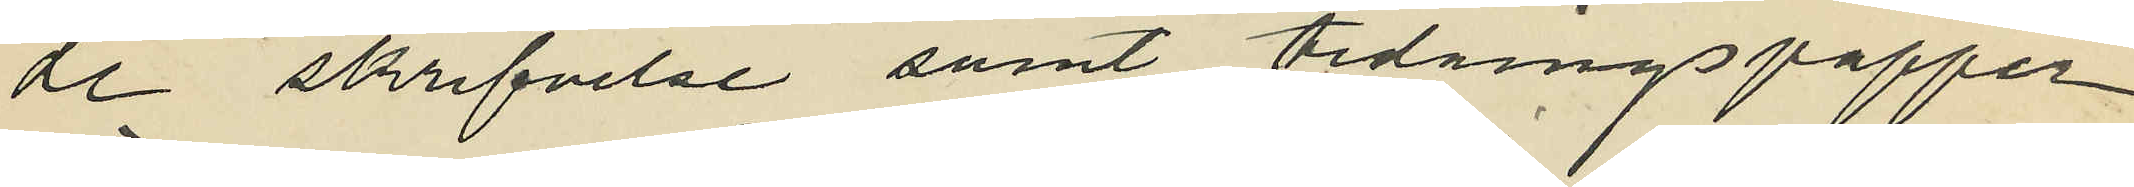de skrifvelse samt tidningspapper
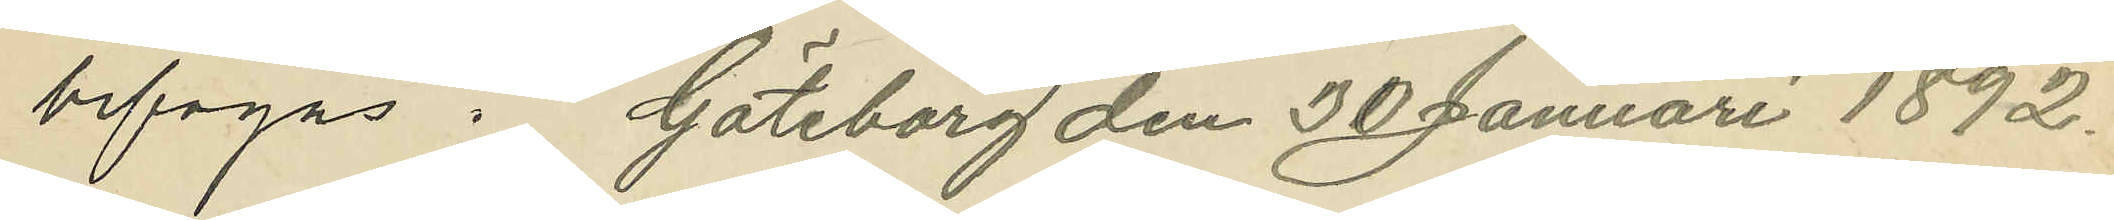bifogas. Göteborg den 30 Januari 1892.
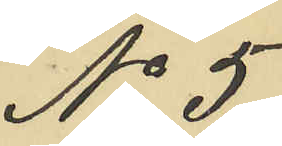No 5.
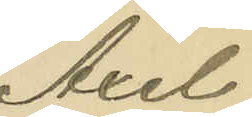Axel
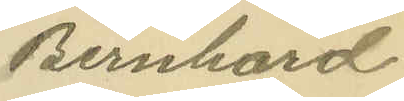Bernhard
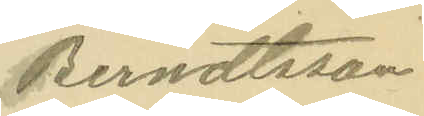Berndtsson
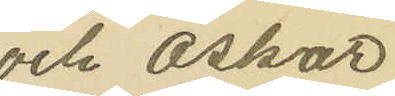och Oskar
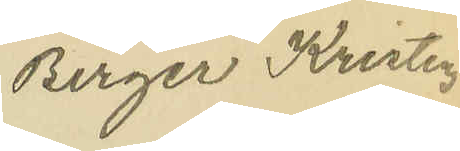Birger Kristen¬
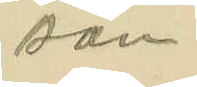son.
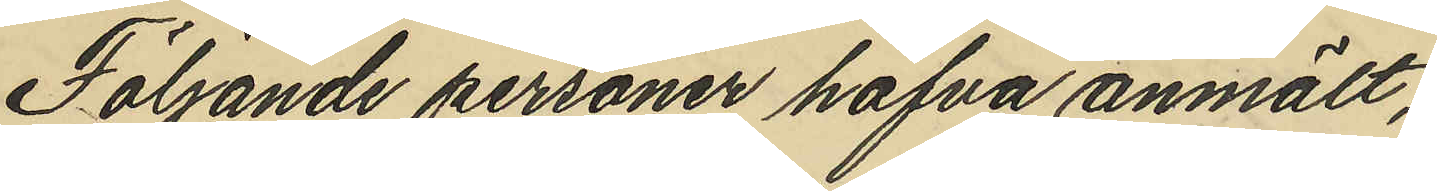Följande personer hafva anmält,
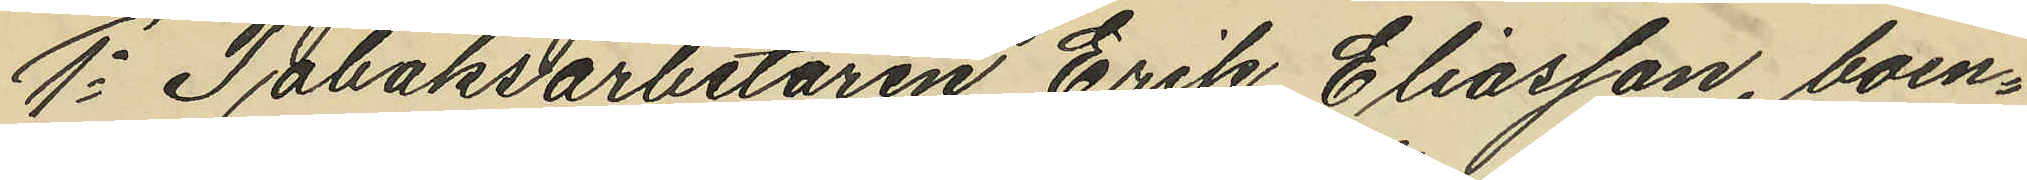1o Tobaksarbetaren Erik Eliasson, boen¬
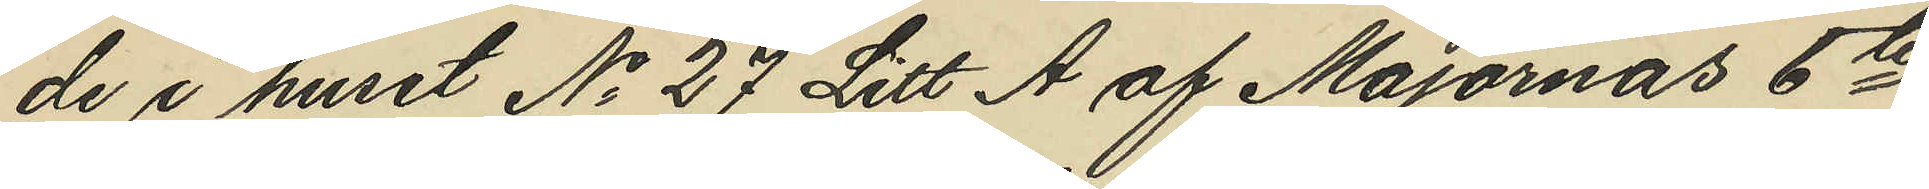de i huset No 27 Litt A af Majornas 6te
